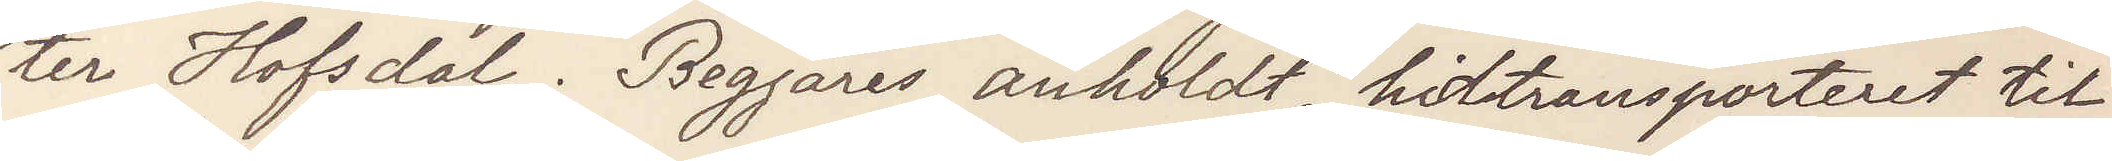ter Hofsdal. Begjäres anholdt, hidtransporteret til
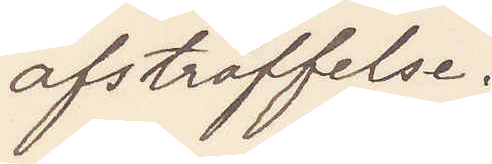afstraffelse.
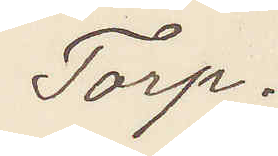Torp.
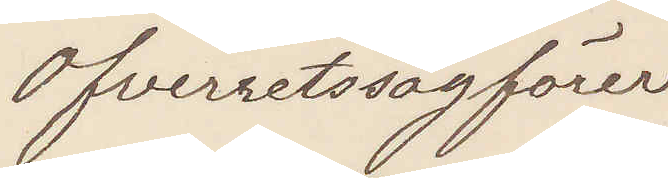Öfverretssagförer
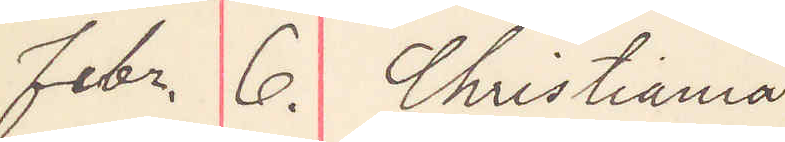febr. 6. Christiania
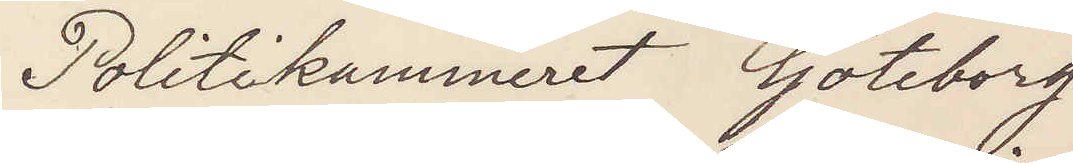Politikammeret Göteborg
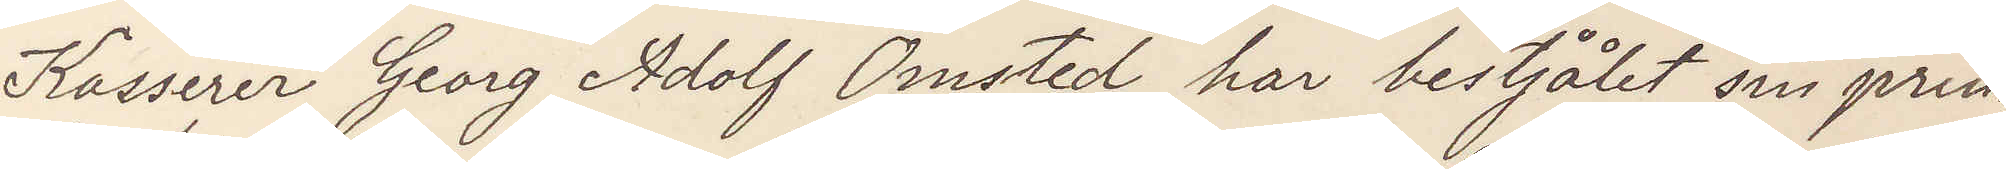Kasserer Georg Adolf Omsted har bestjålit sin prin¬
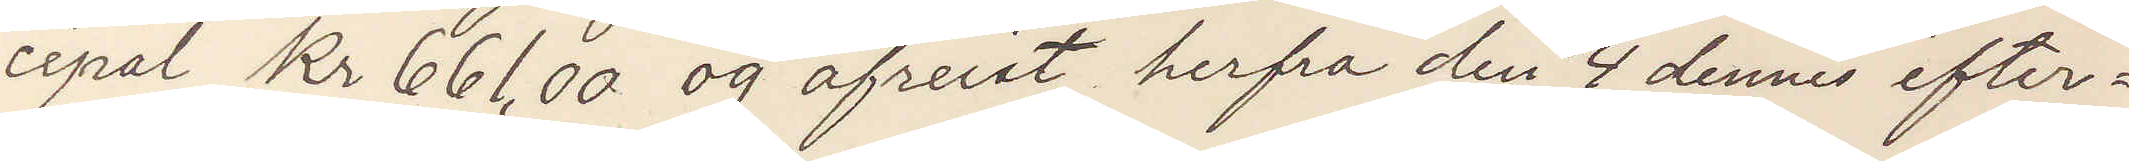cipal Kr 661,00 og afreist herfra den 4 dennes efter¬
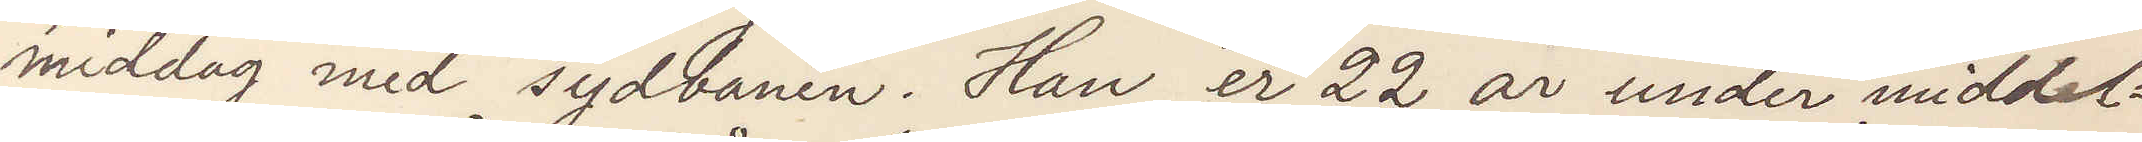middag med sydbanen. Han er 22 år under middel¬
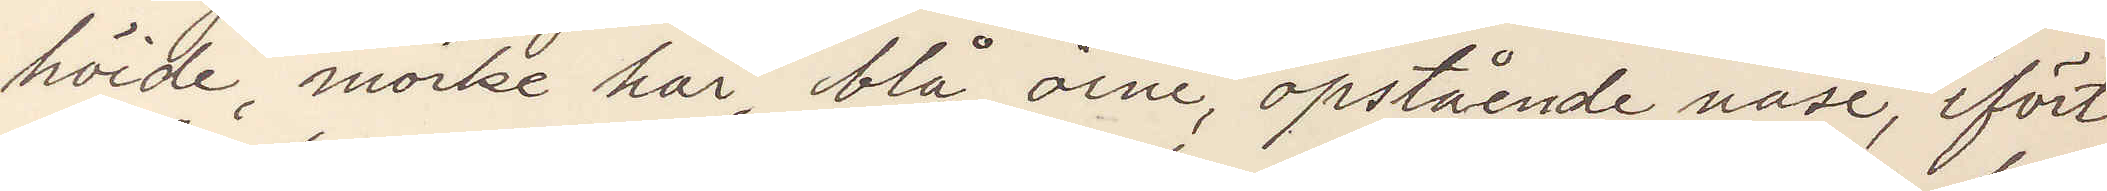höide, mörke hår, blå öine, opstående näse, ifört
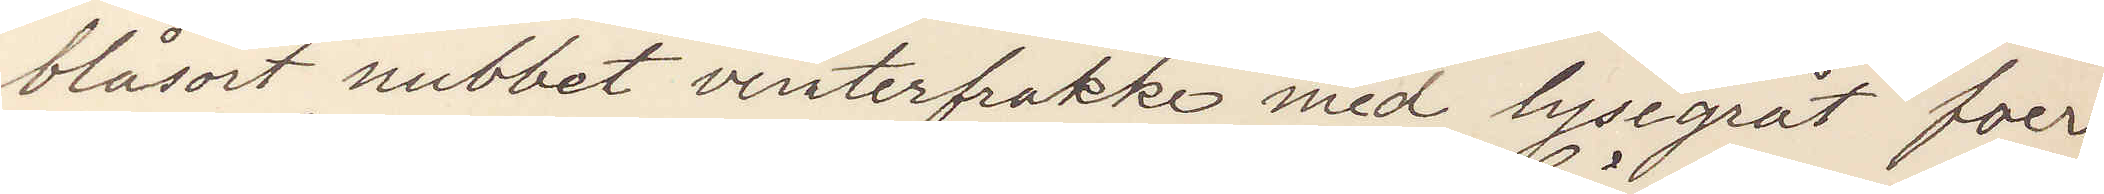blåsort nubbet vinterfrakke med lysegråt foer
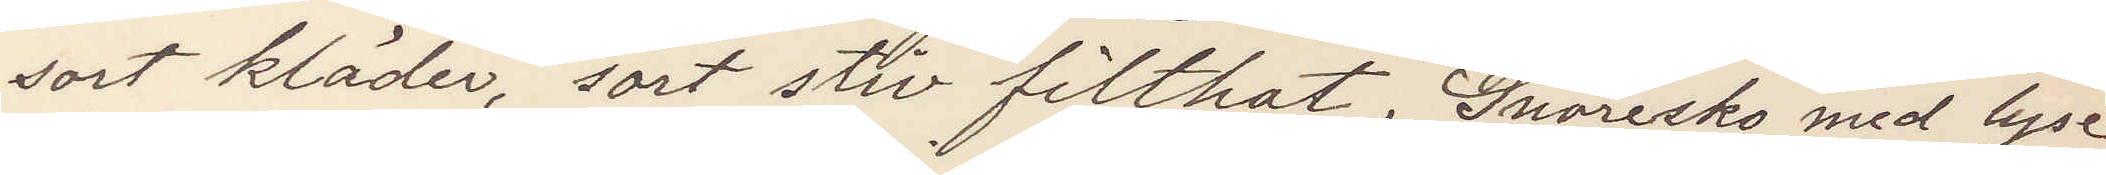sort kläder, sort stiv filthat. Snöresko med lyse
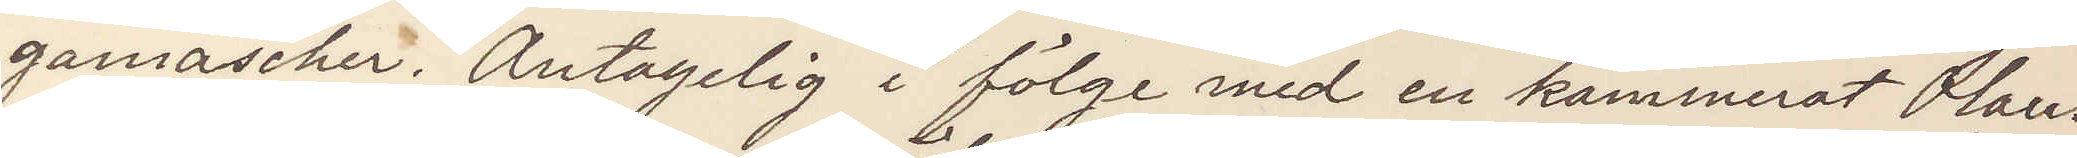gamascher. Antagelig i fölge med en kammerat Olaus
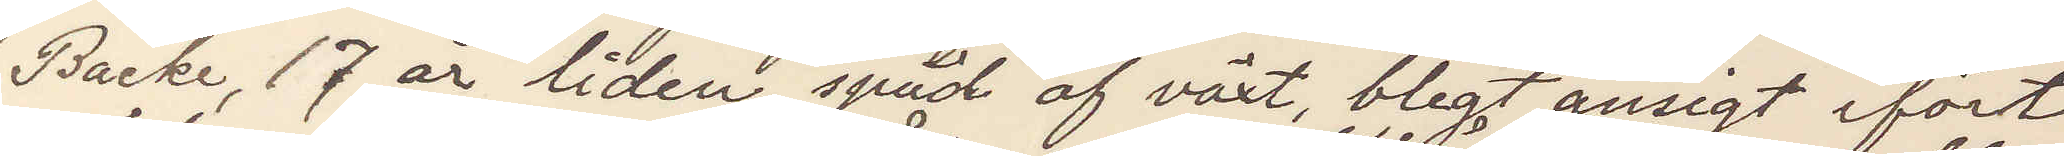Backe, 17 år liden, späd af växt blegt ansigt ifört
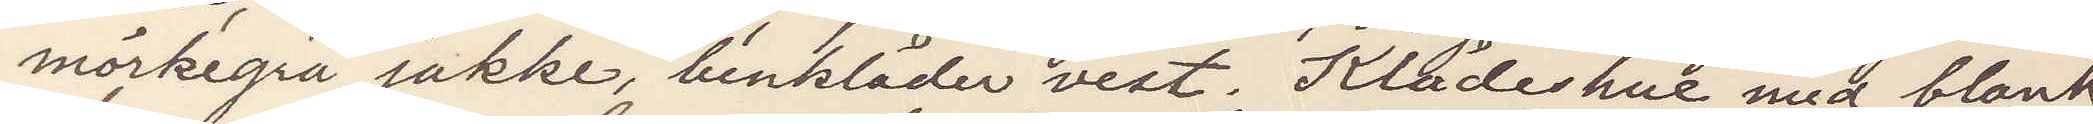mörkegrå jakke, benkläder vest. Klädeshue med blank
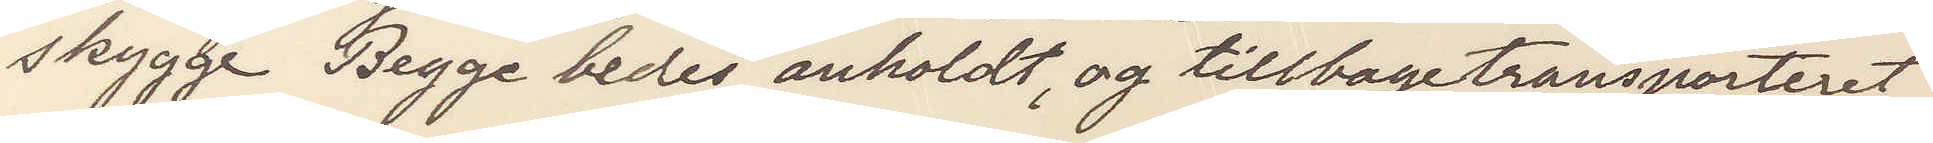skygge Begge bedes anholdt, og tillbagetransporteret.
